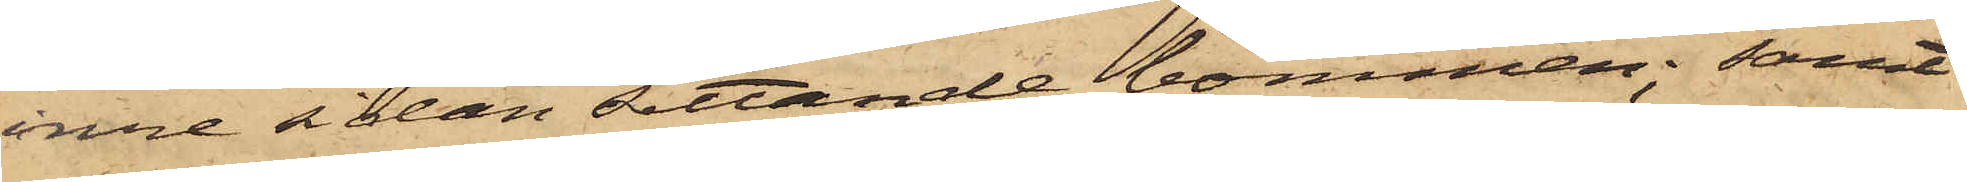inre sidan sittande bommen; samt
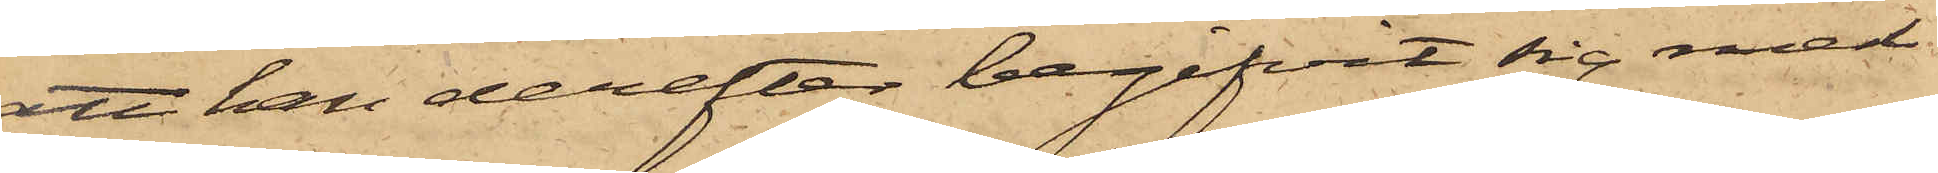att han derefter begifvit sig med
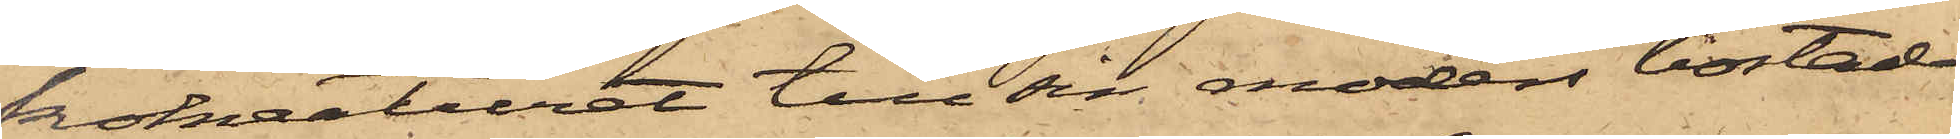kokreaturet till sin moders bostad
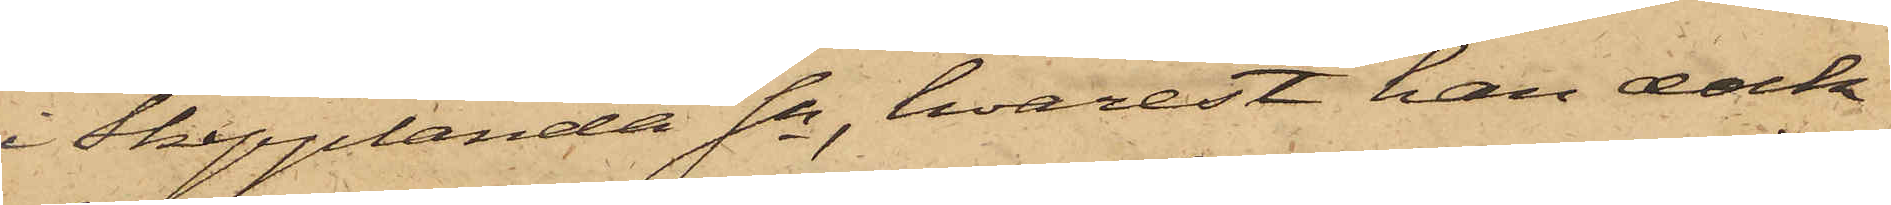i Skepplanda Sn, hvarest han dock
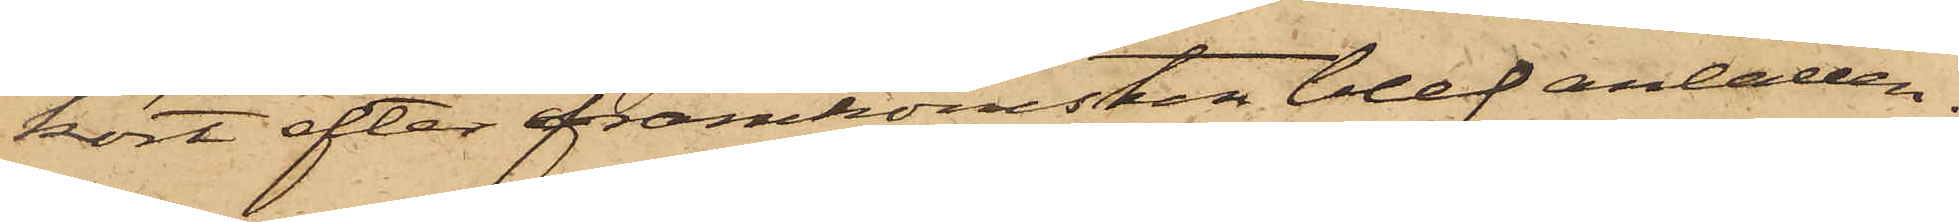kort efter framkomsten blef anhållen.
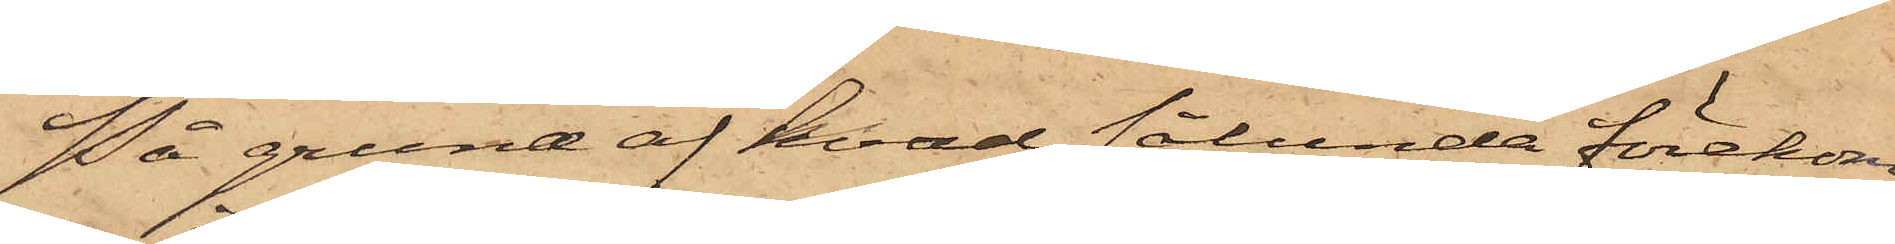På grund af hvad sålunda förekom¬
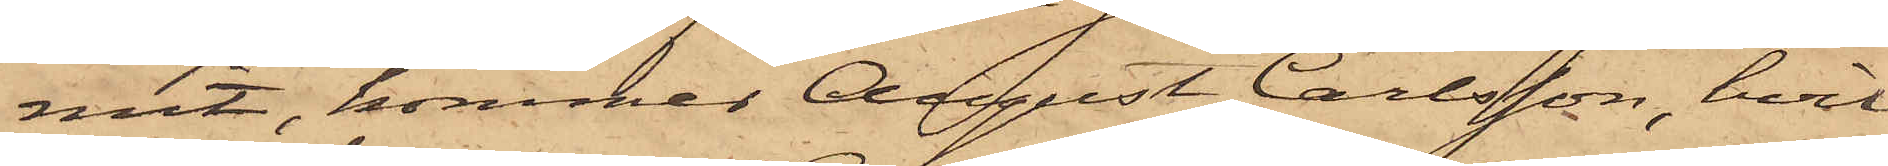mit, kommer August Carlsson, hvil¬
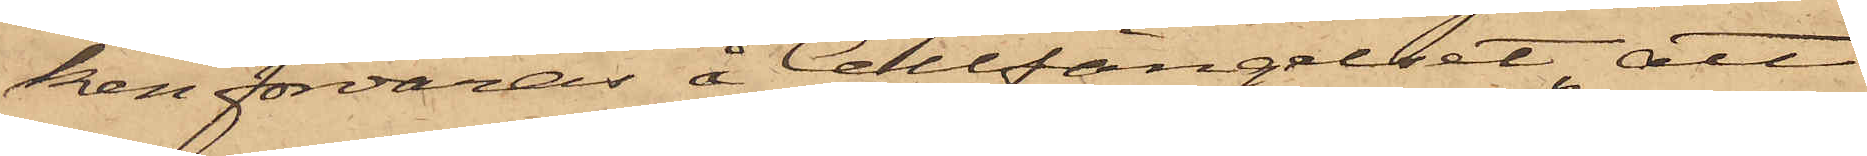ken förvaras å Cellfängelset, att
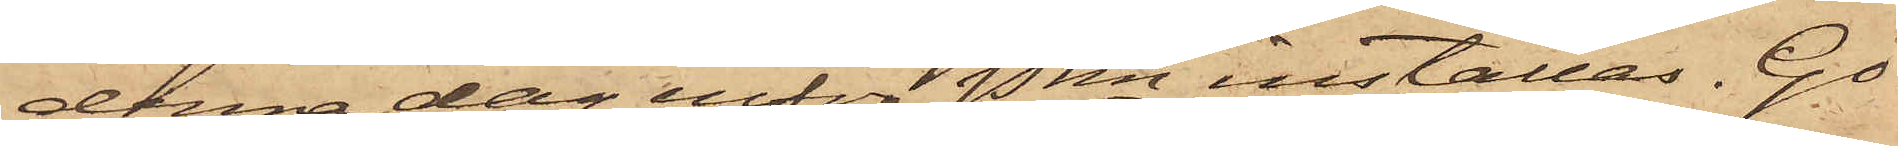denna dag inför Pkn inställas. Gö¬
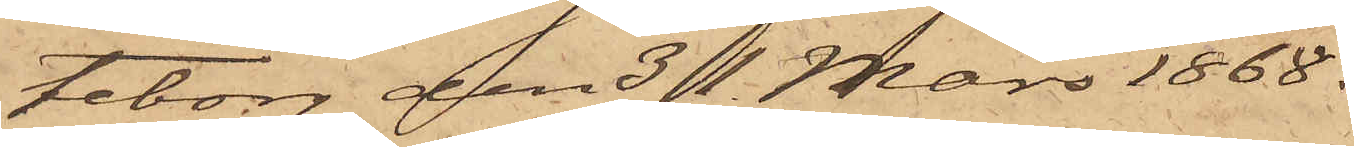teborg den 31 Mars 1868.
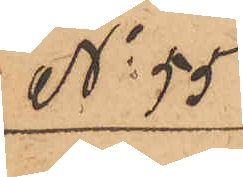No 55
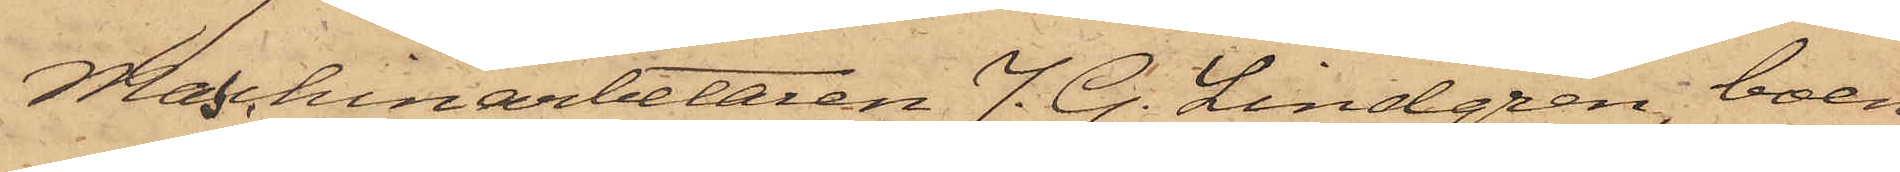Maschinarbetaren J. G. Lindgren, boen¬
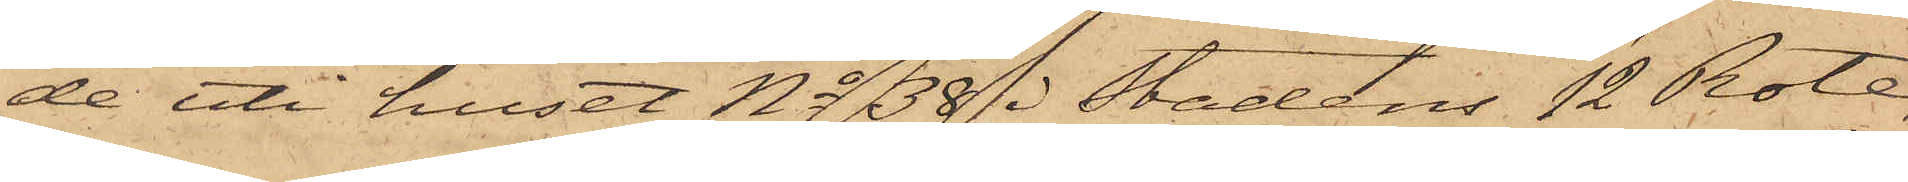de uti huset No 38 i stadens 12 Rote,
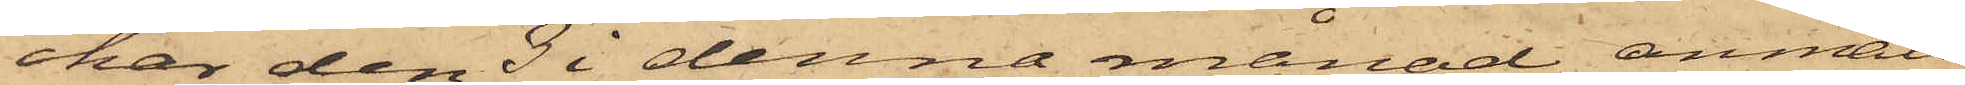har den 3 i denna månad anmält,
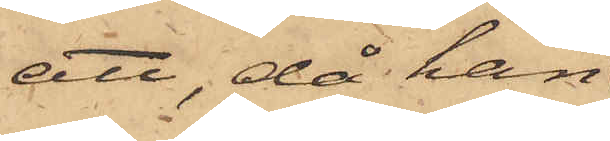att, då han
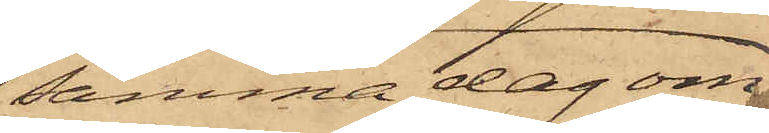samma dag om¬
